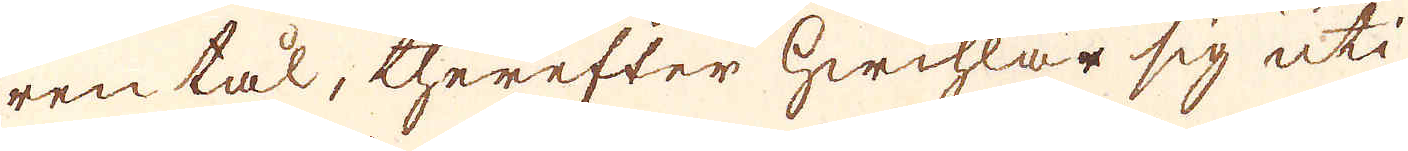ren tål, therefter hwihlar sig uti
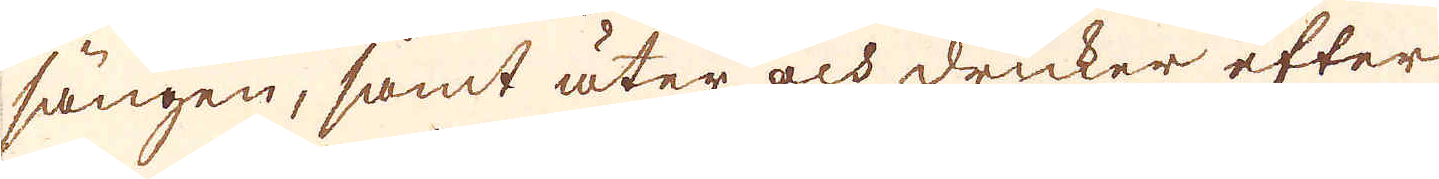sängen, samt äter och dricker efter
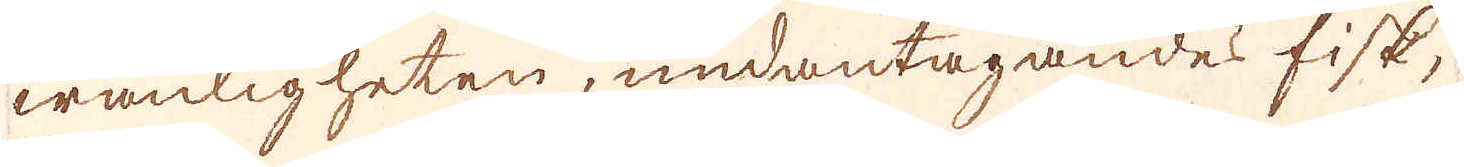wanligheten, undantagandes fisk,
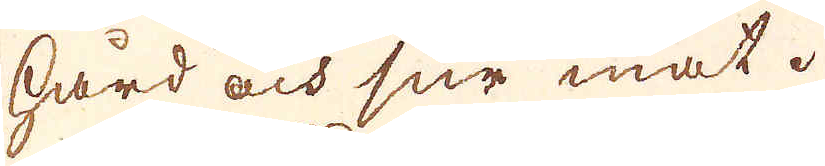hård och sur mat.
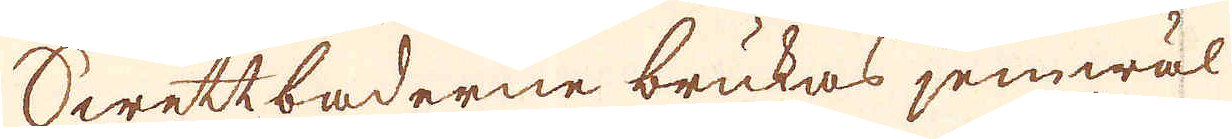Swettbaderne brukas jemwäl
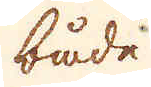både
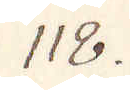118.
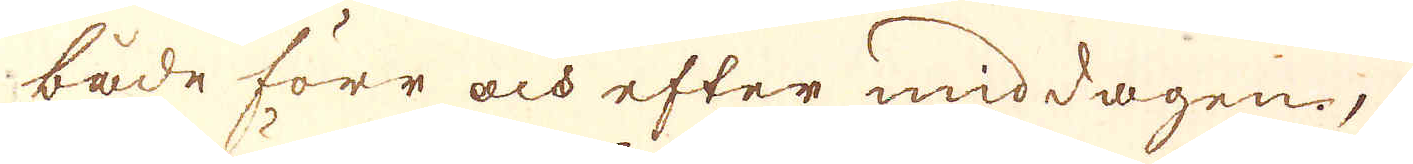både förr och efter middagen,
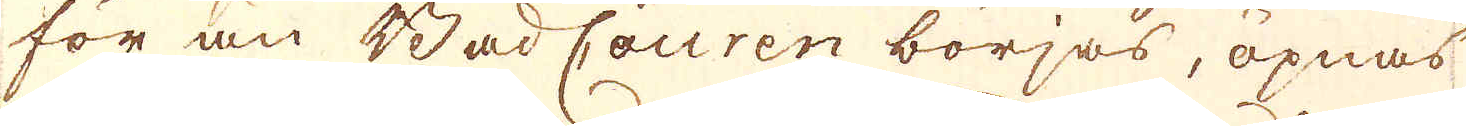för än Bad Couren börjas, öpnas
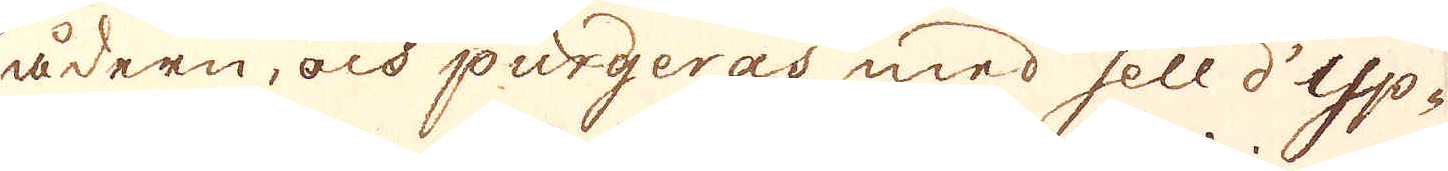ådern, och purgeras med sell d'Yp-
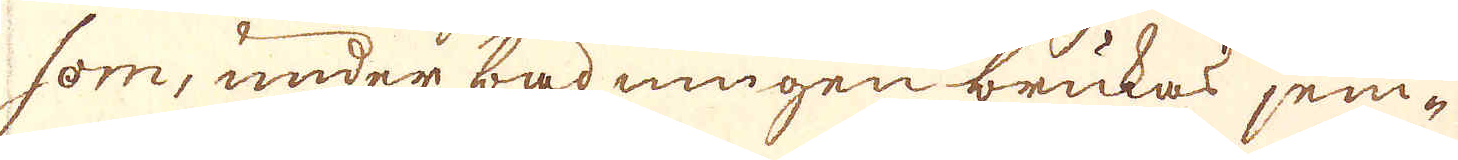som, under badningen brukas jem-
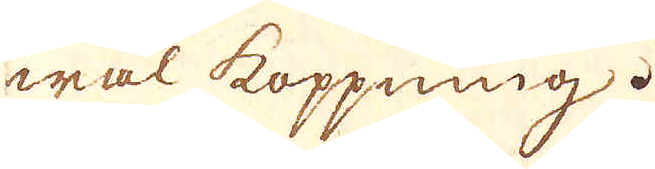wäl koppning.
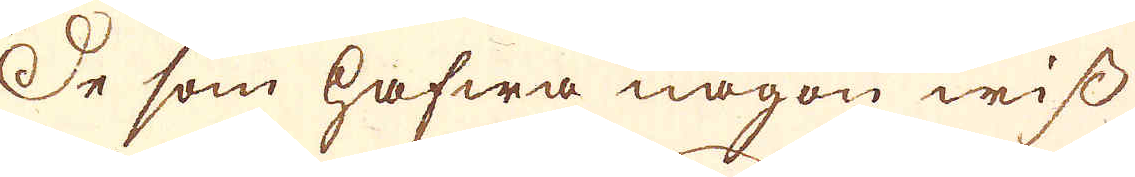De som hafwa någon wiss
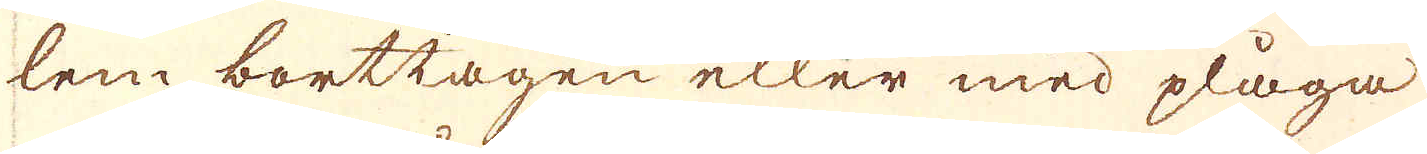lem borttagen eller med plåga
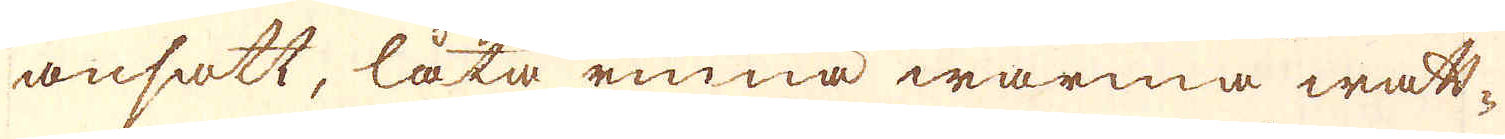ansatt, låta rinna warma watt-
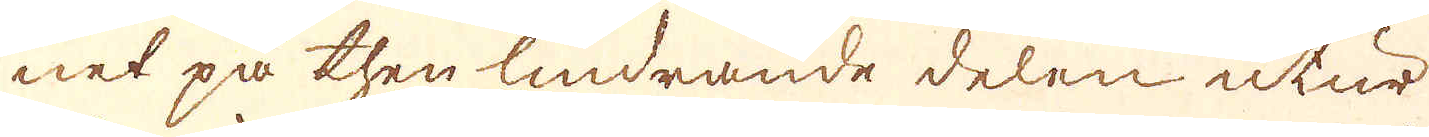net på then lindrande delen utur
